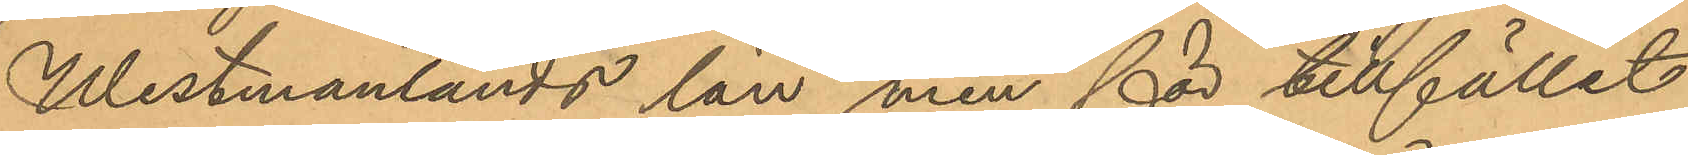Westmanlands län men för tillfället
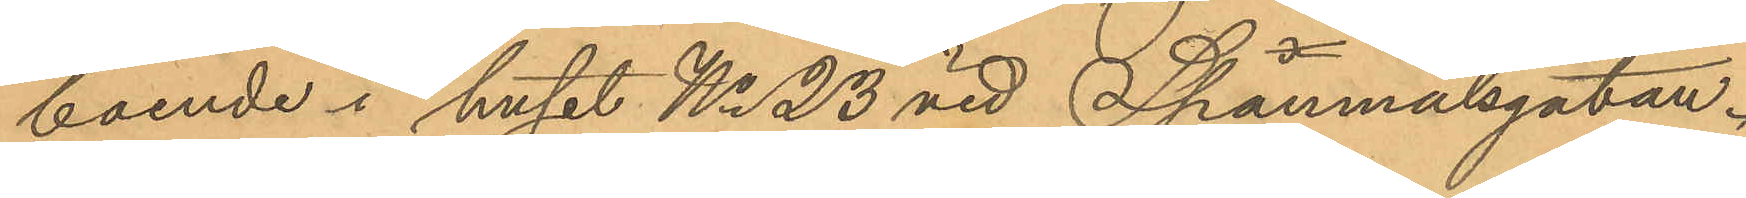boende i huset No 23 vid Spanmålsgatan.
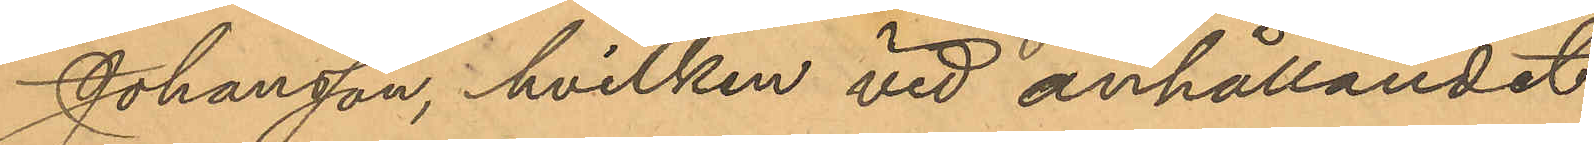Johansson, hvilken vid anhållandet
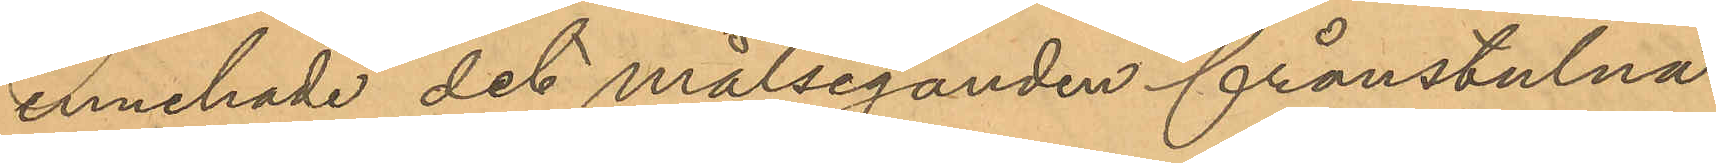innehade det målseganden frånstulna
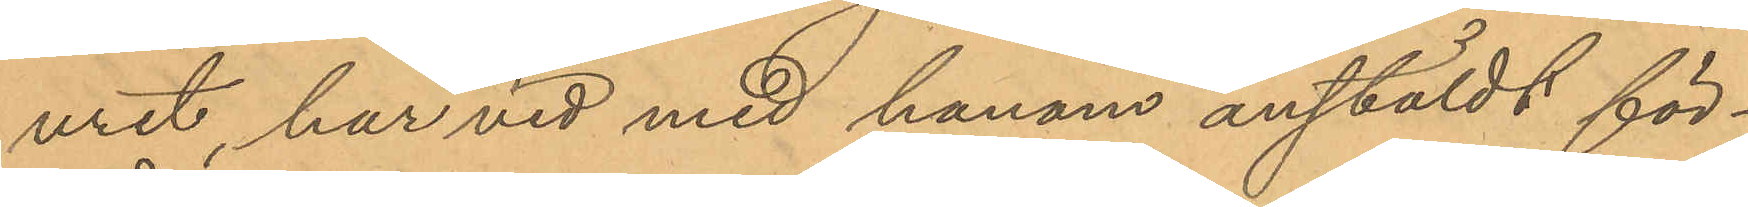uret, har vid med honom anstäldt för¬
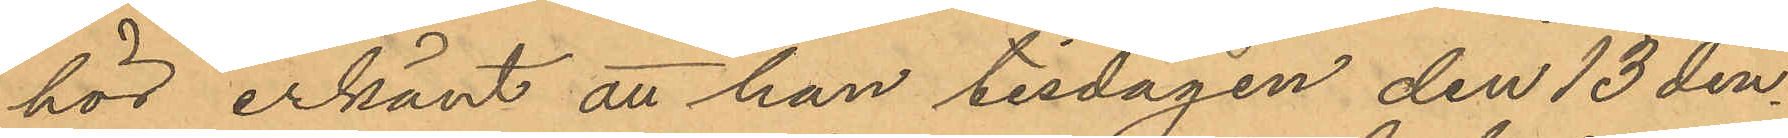hör erkänt att han tisdagen den 13 den¬
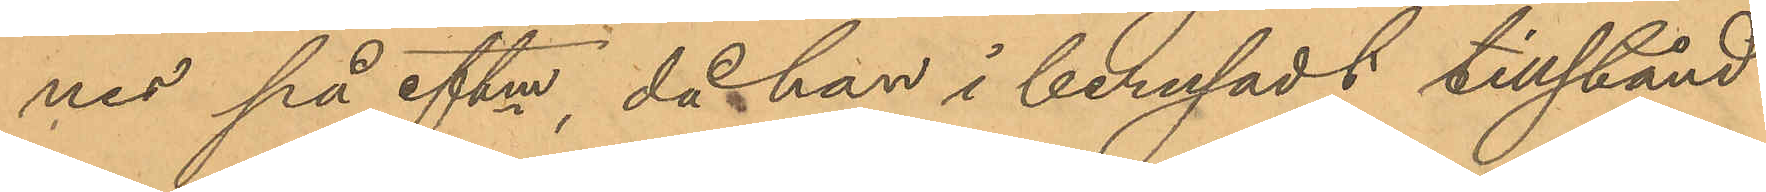nes på eftm, då han i berusadt tillstånd
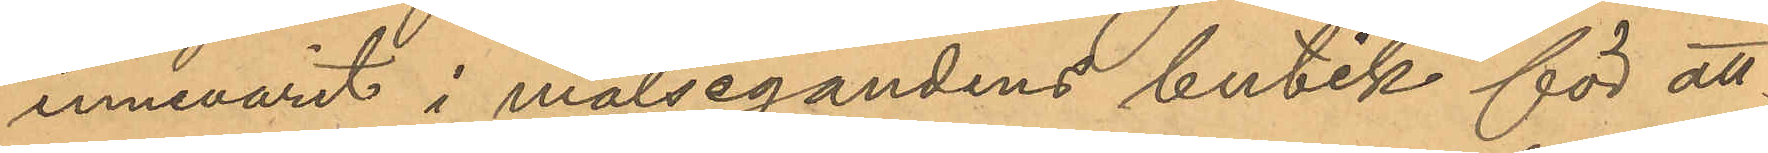innevarit i målsegandens butik för att
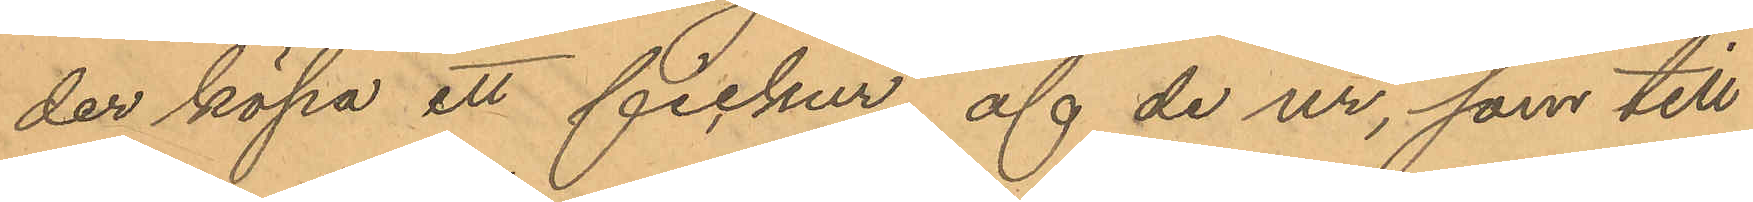der köpa ett fickur, af de ur, som till
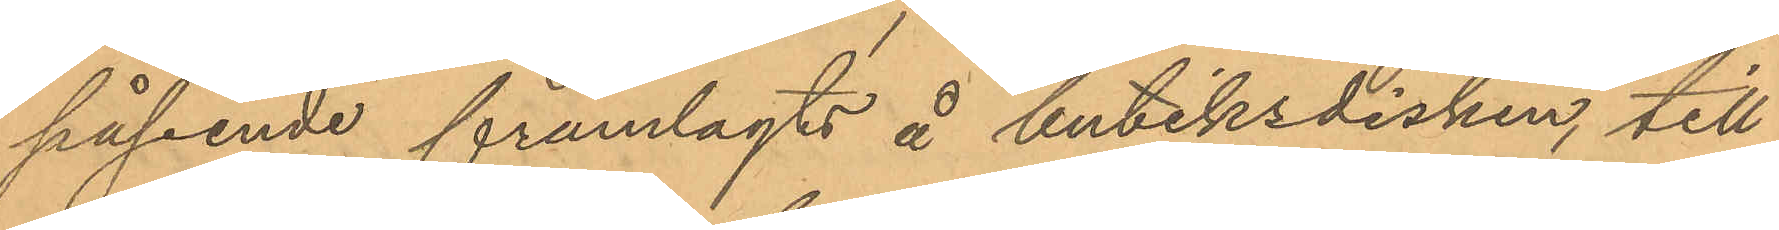påseende framlagts å butiksdisken, till¬
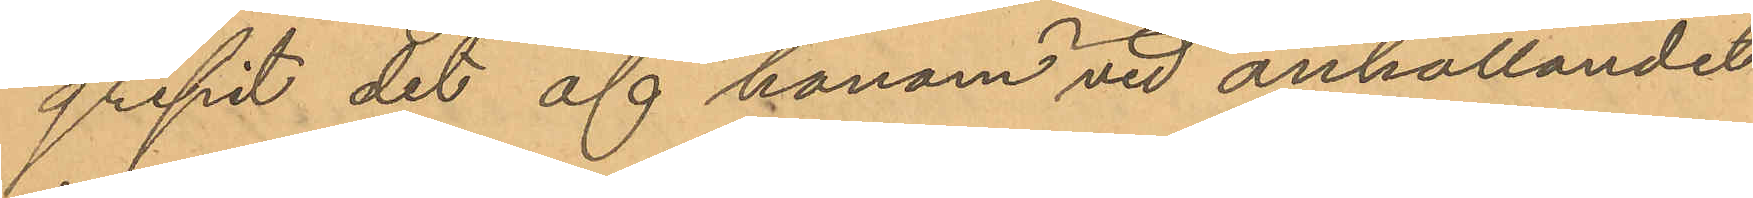gripit det af honom vid anhållandet
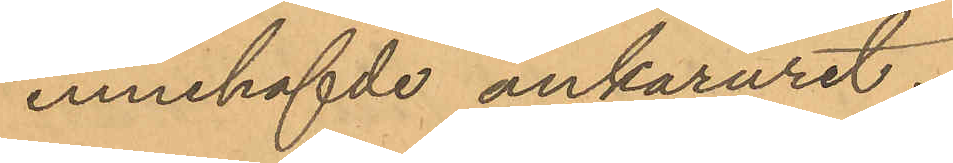innehafde ankaruret.
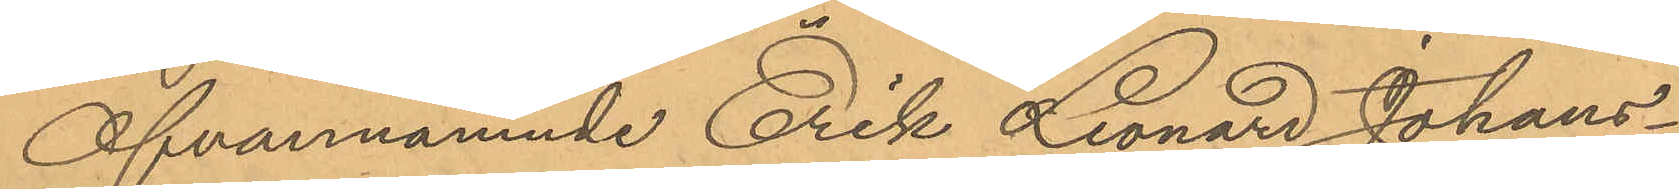Ofvannämnde Erik Leonard Johans¬
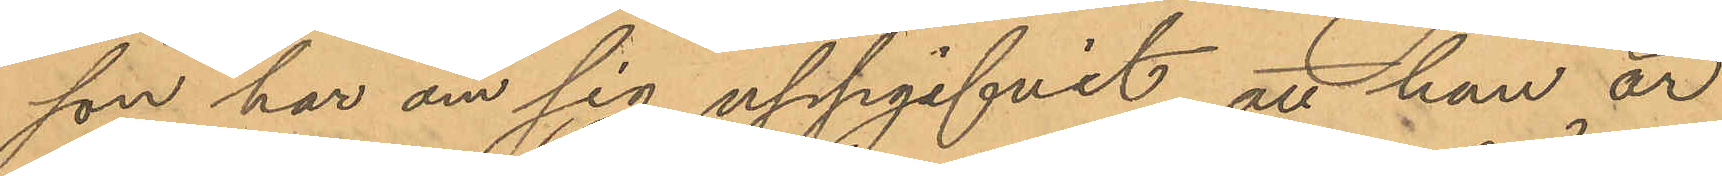son har om sig uppgifvit att han är
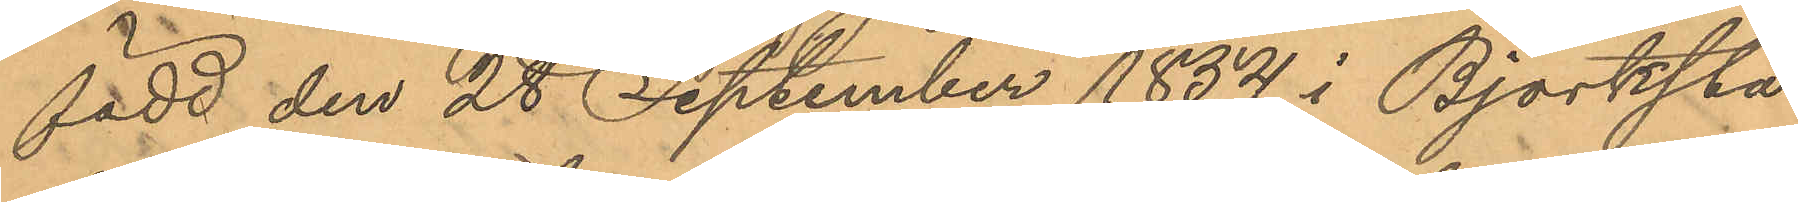född den 28 September 1854 i Björksta
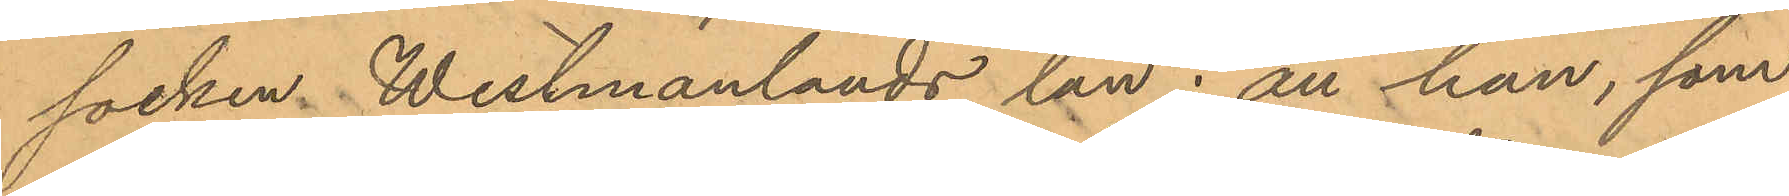socken, Westmanlands län; att han, som
